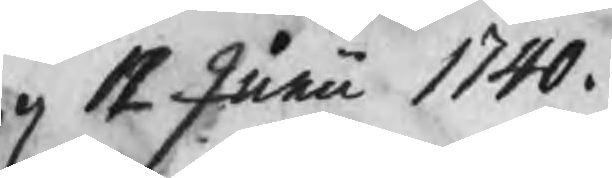12 Junii 1740.
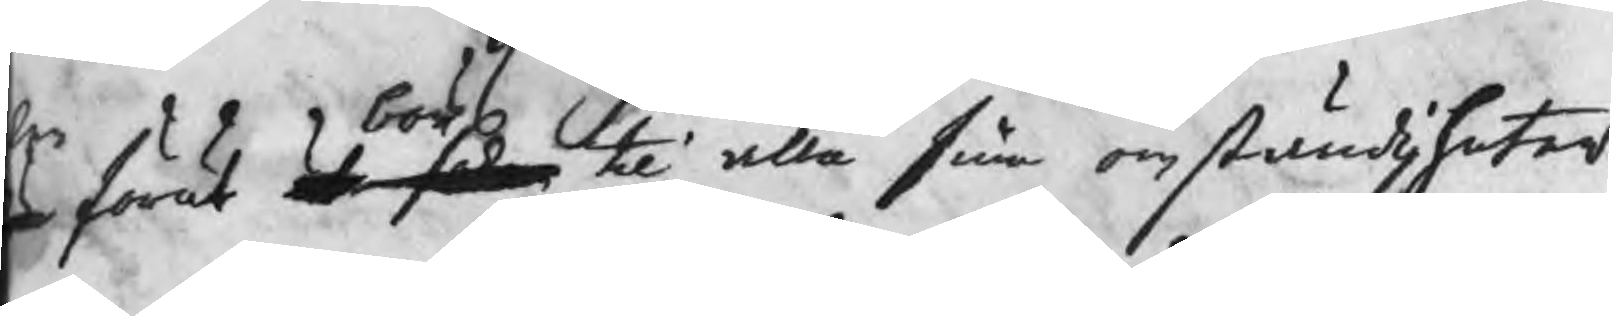r förut är saken til alla sine omständigheter
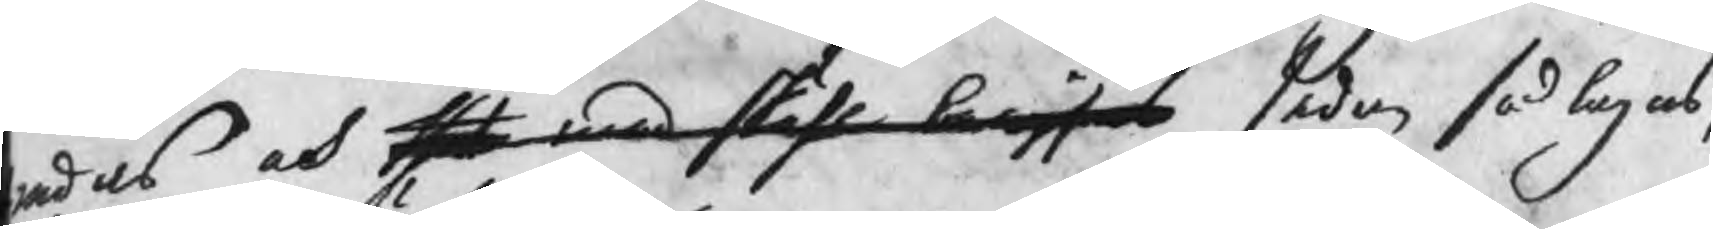redas och thet med skähl bewisas sedan så lagas,
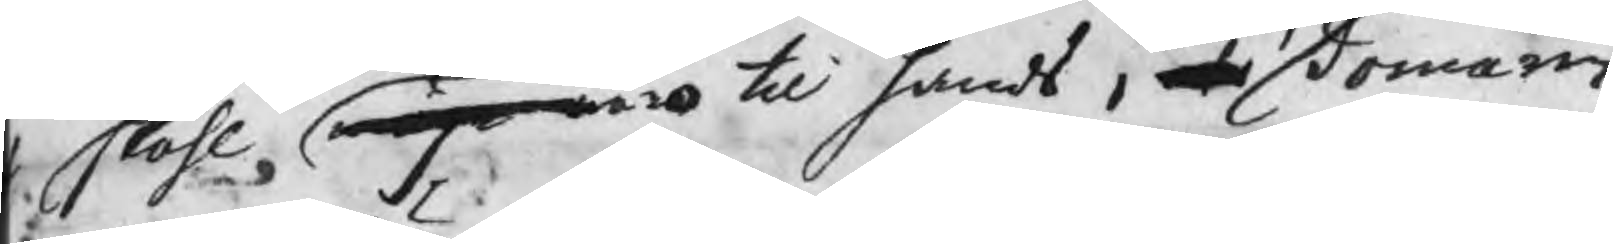skähl, måge äro til hands, at domaren
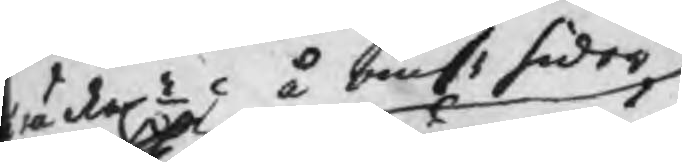räckel å ömse sidor
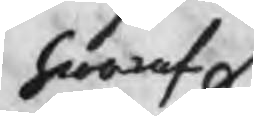hwaraf
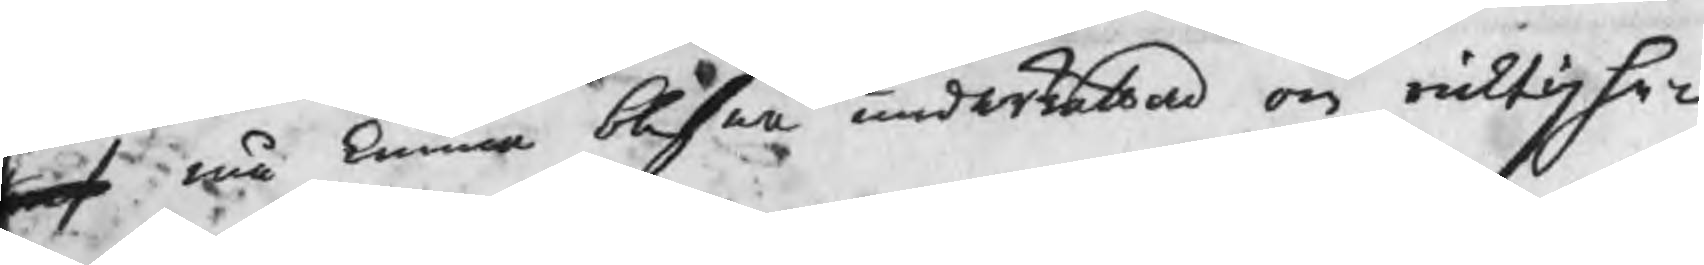eraf må kunna blifwa underrättad om ricktighe¬
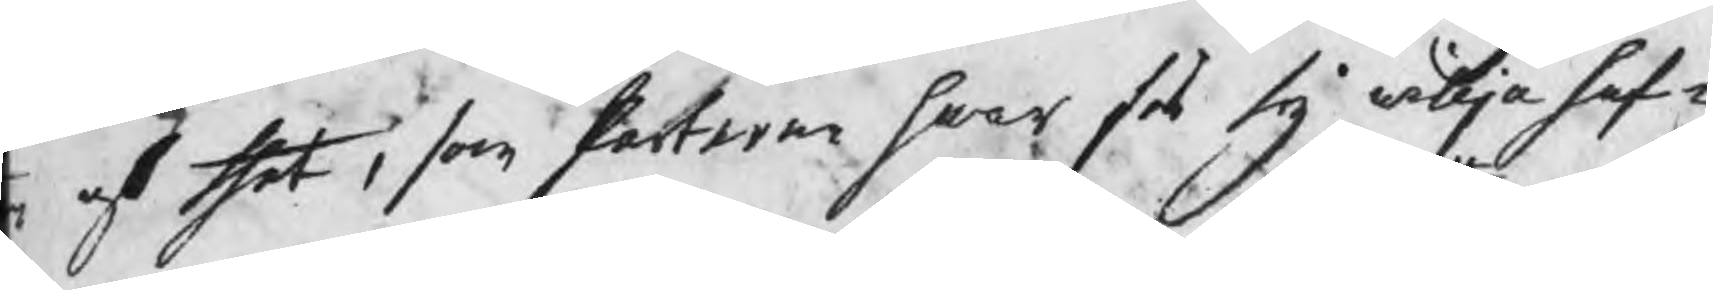n af thet, som Parterne hwar för sig wilja haf¬
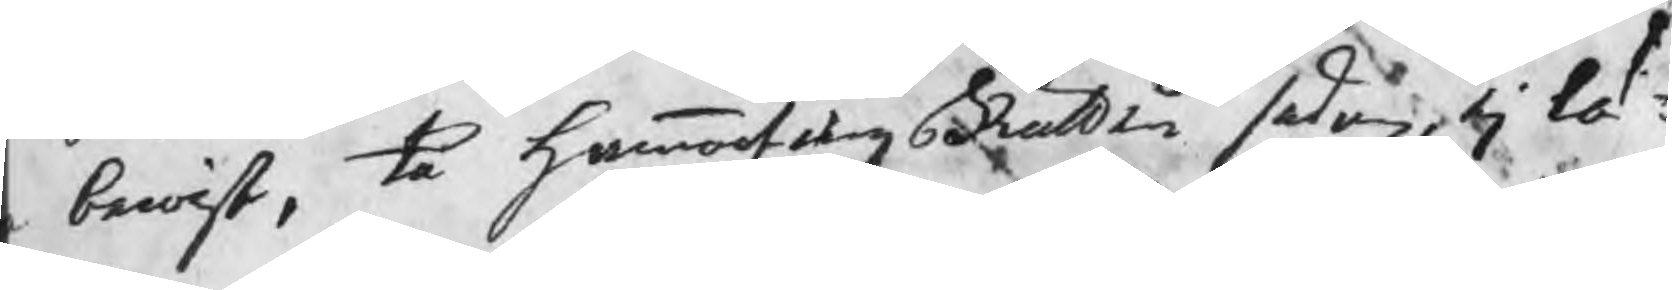bewist, tå HammartingsRätten sedan, ej lä¬
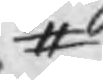#
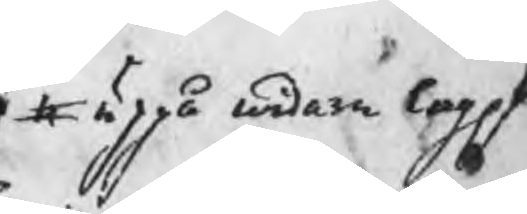# uppå widare lagel
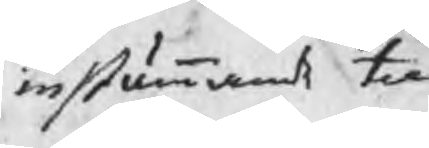instämmande til
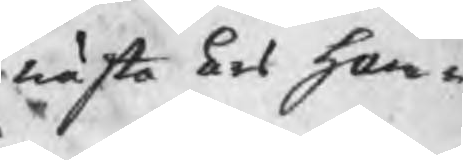nästa års Ham¬
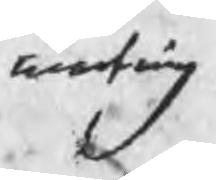marting
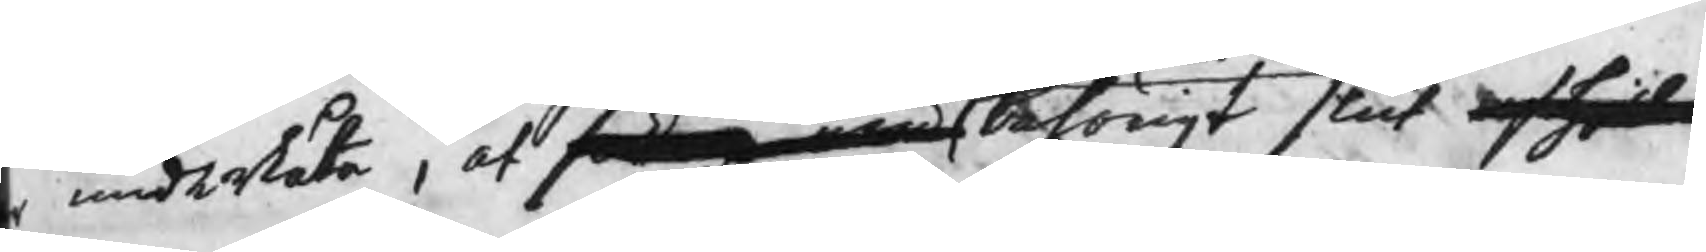underlåta, at saken med behörigt slut afh
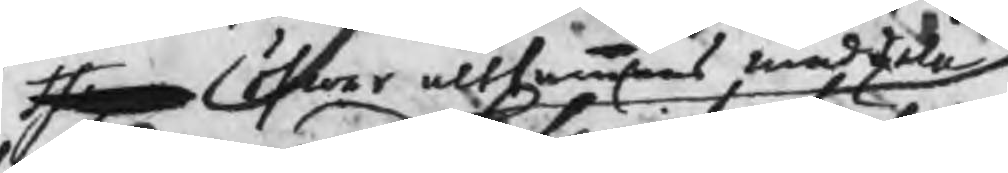them öfwer altsammans meddela
